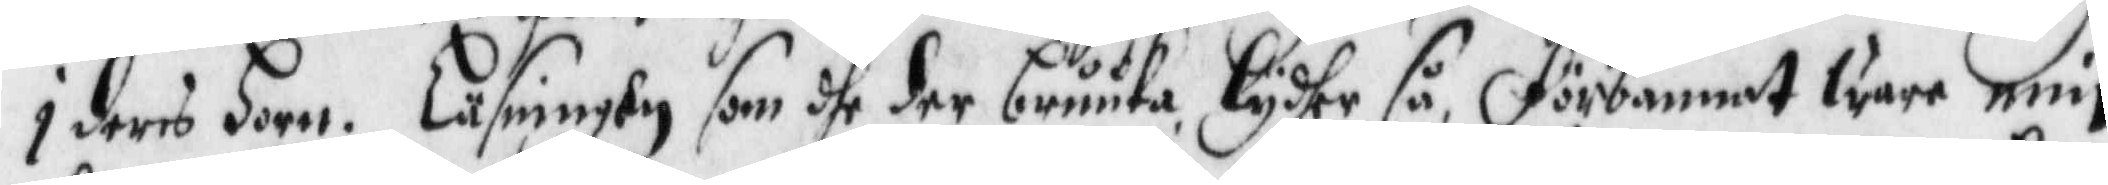i deras Horn. Läsningen som dhe der bruuka lydher så, Förbannat ware min
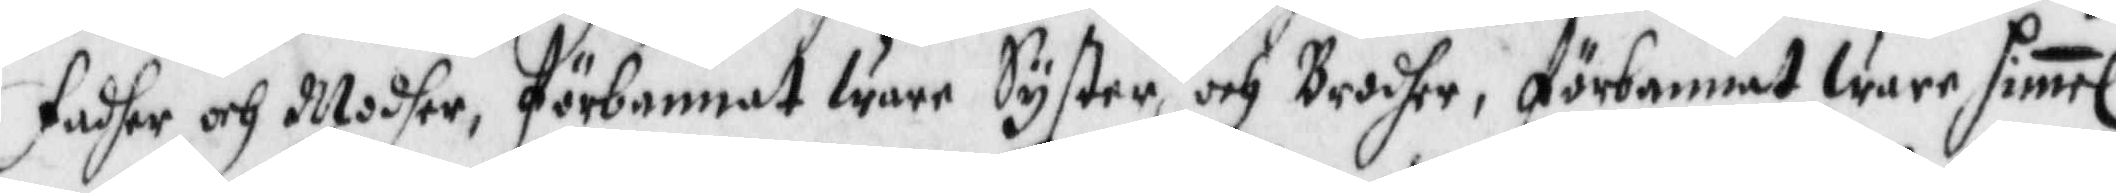Fadher och Modher, förbannat ware Syster och Brodher, förbannat ware Himel
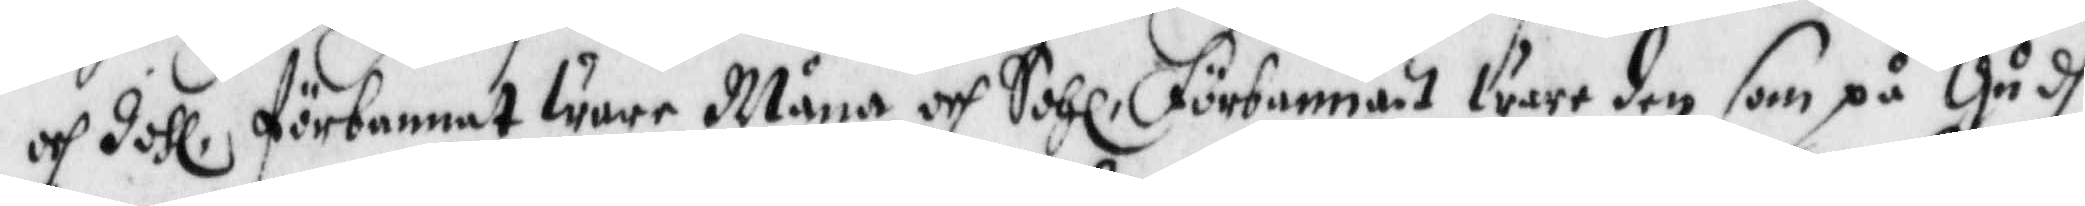och Johl, förbannat ware Måna och Sohl, förbannat ware den som på Gudh
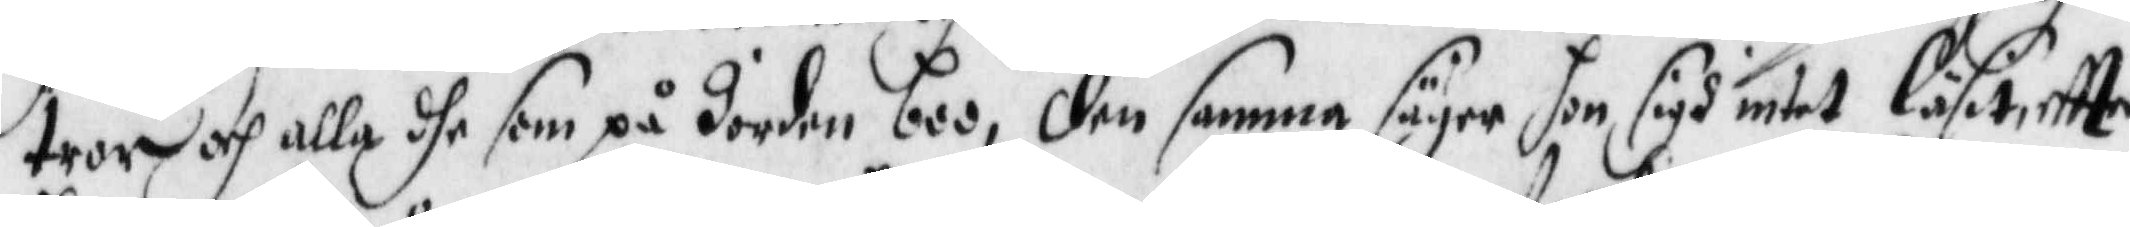tror och alla dhe som på Jorden boo, den samma säyer hon sigh intet läsit, eftter
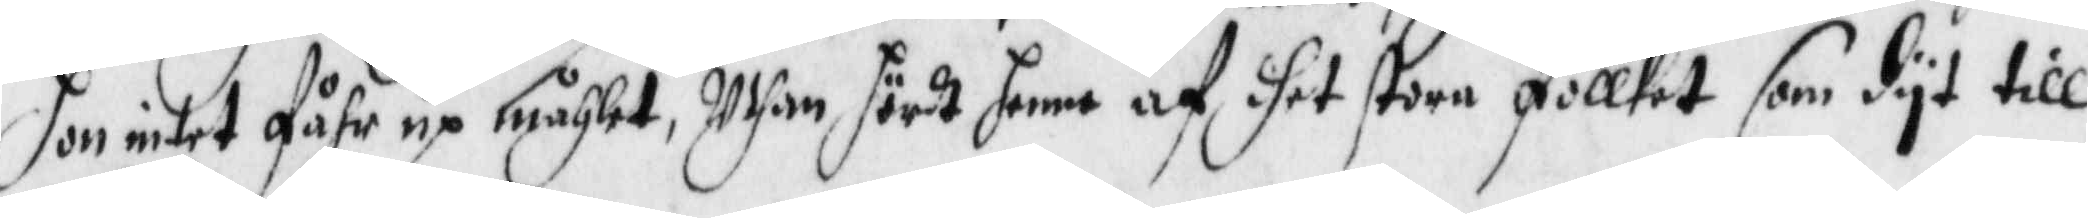hon intet fåhr up måhlet, Uthan hördt henne af dhet stora follket som dyt till
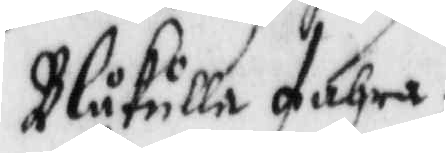Blåkulla fahra.
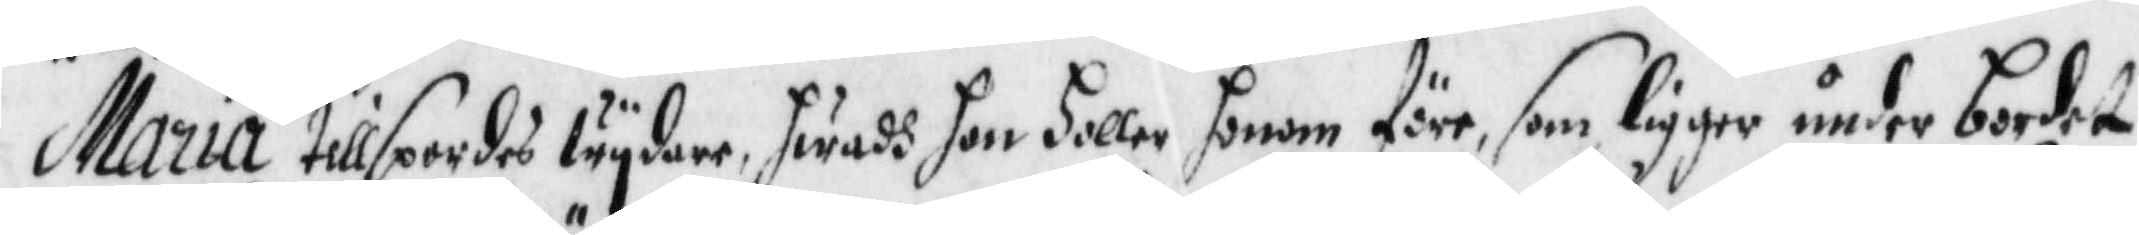Maria tillspordes wydare, hwadh hon holler honom före, som ligger under bordet
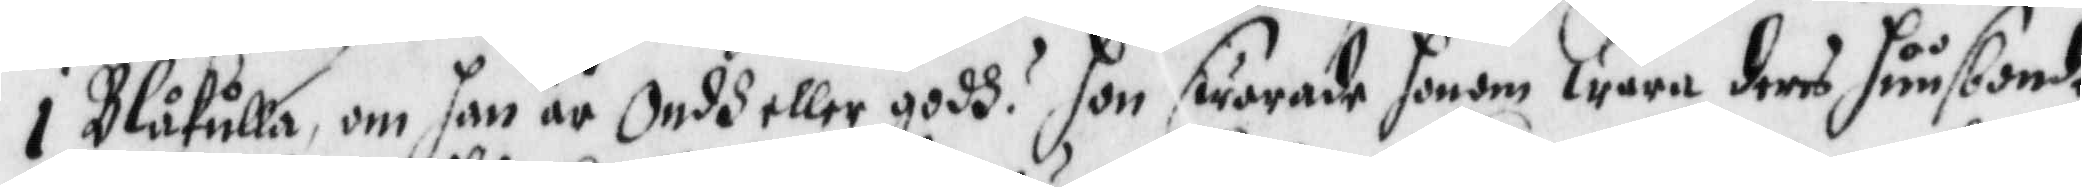i Blåkulla, om han är Ondh eller godh? hon swarade honom wara deras huusbonde
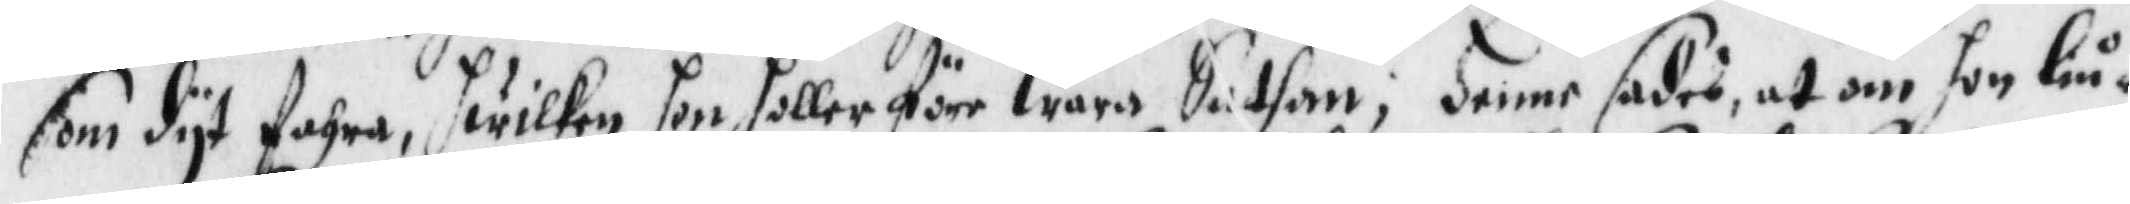som dyt fahra, hwilken hon heller före wara Sathan; Henne sades, at om hon liu¬
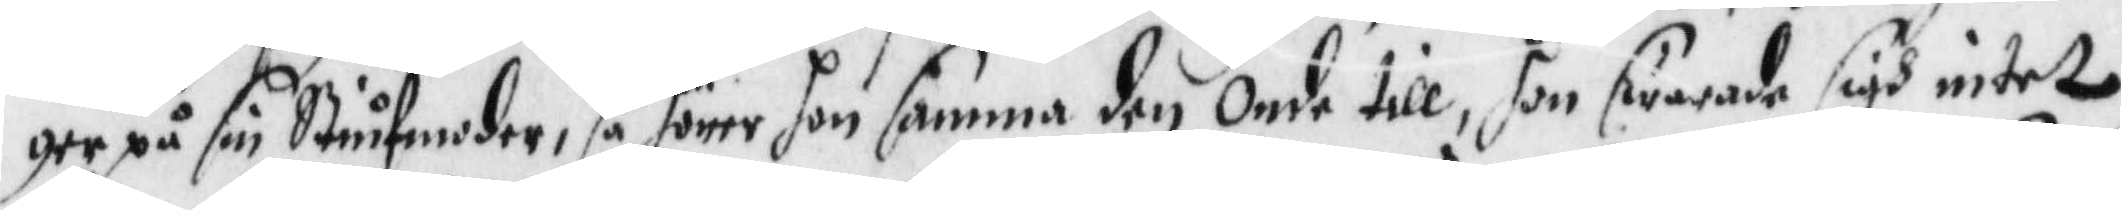ger på sin Stiufmoder, så hörer hon samma den Onde till, hon swarade sigh intet
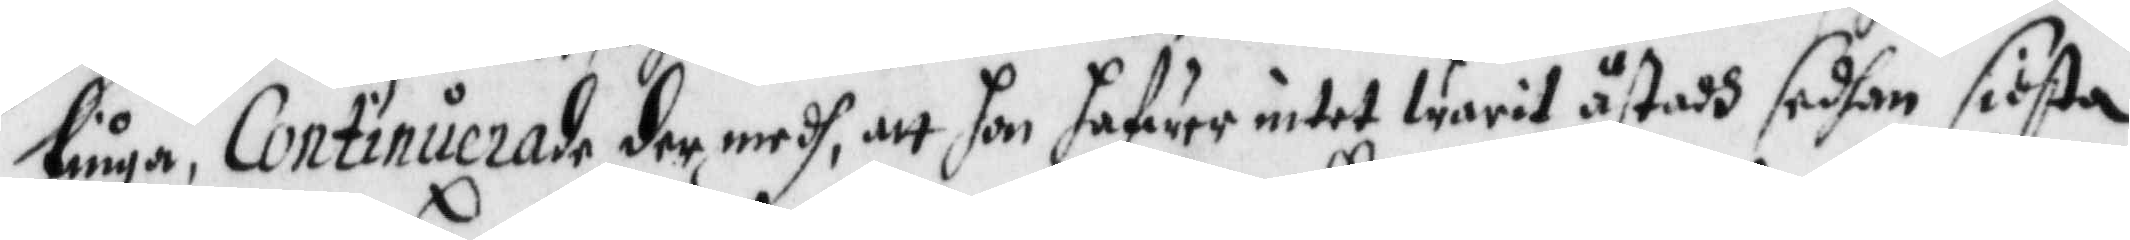liuga, Continuerade det medh, att hon hafwer intet warit åstadh sedhan sidsta
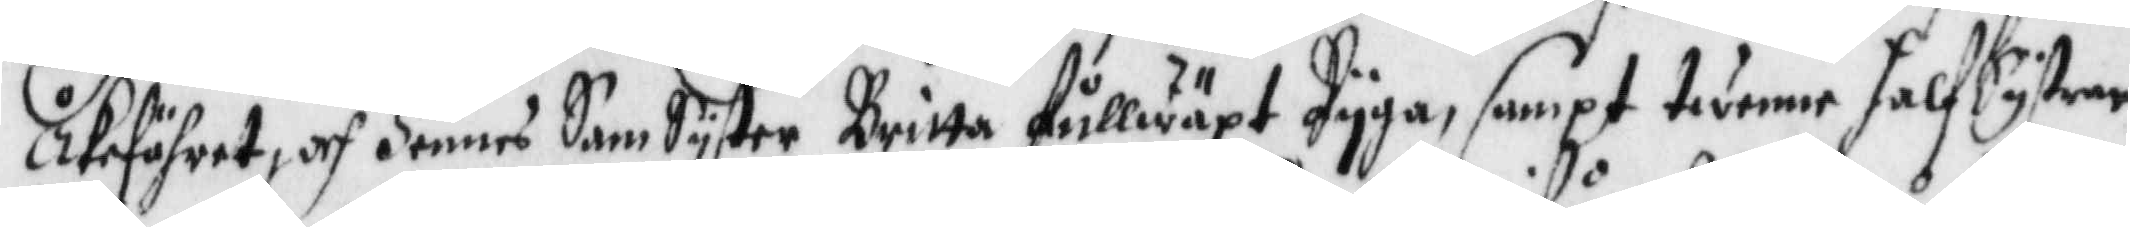Åkeföhret, och Hennes SamSyster Britta fullwäxt Pyga, sampt twenne halfSystrar
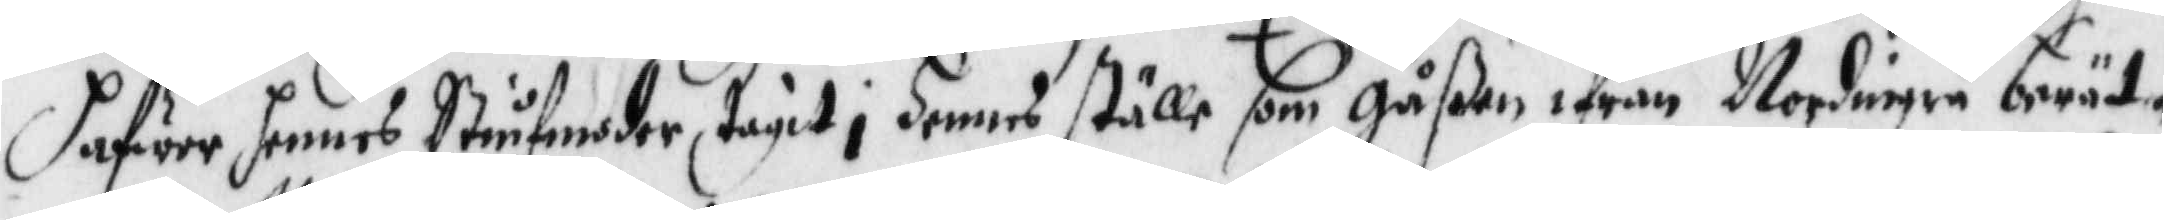hafwer hennes Styfmoder tagit i Hennes ställe som gåßen ifrån Nordingrå berät¬
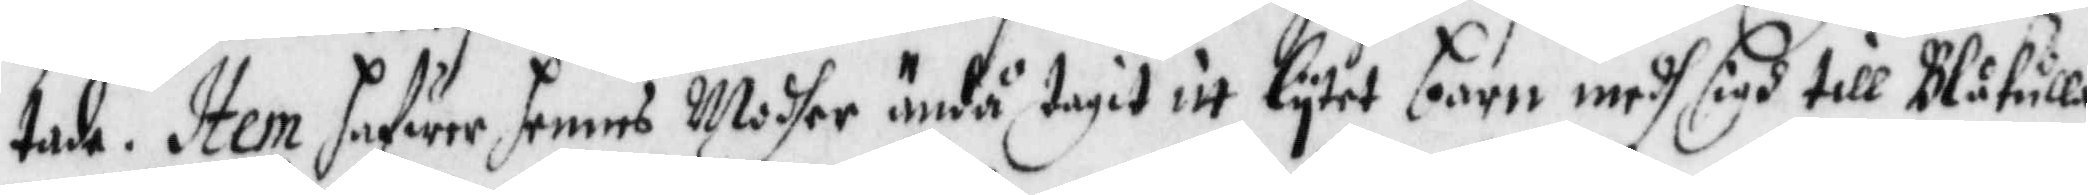tade. Item hafwer hennes Modher ändå tagit itt lytet barn medh sigh till Blåkulla
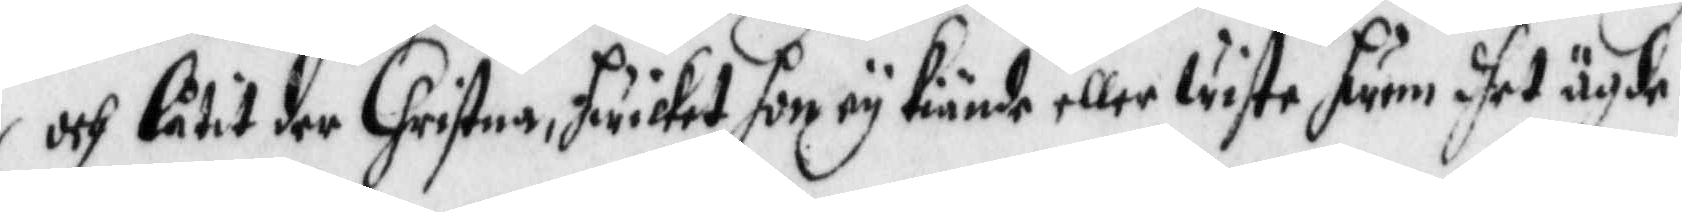och låtit der Christna, hwilket hon ey kiände eller wiste hwem dhet ägde.
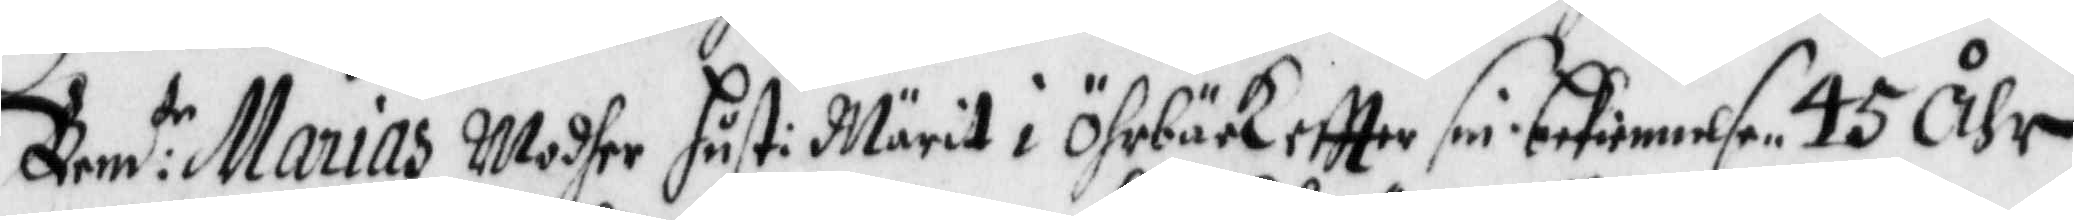Bem:de Marias Modher hust: Märit i Öhrbäck eftter sin bekiennelse 45 åhr
